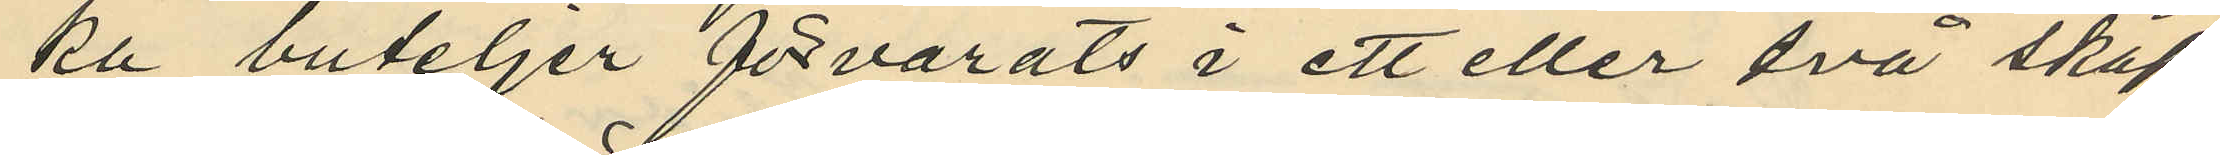ka buteljer förvarats i ett eller två skåp
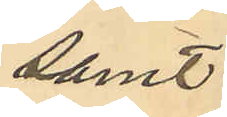samt
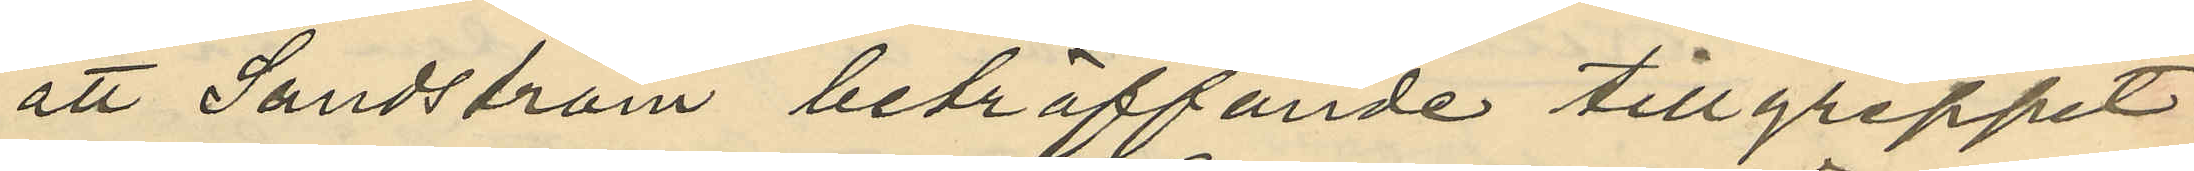att Sandström beträffande tillgreppet
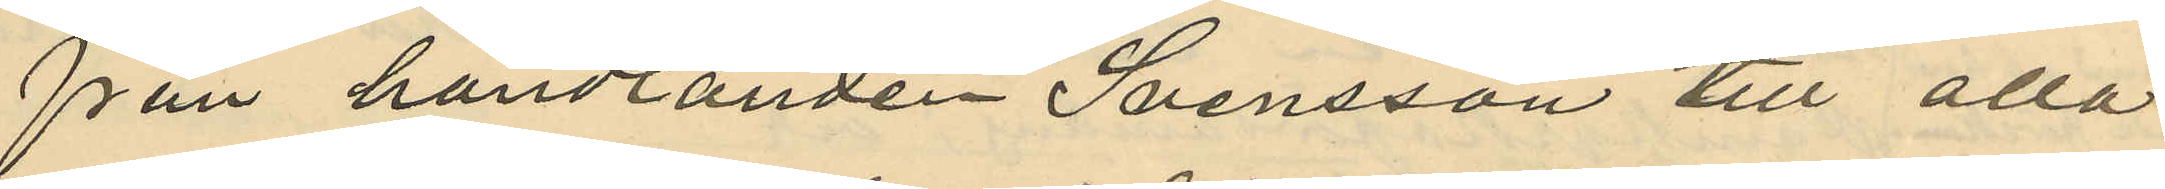från handlanden Svensson till alla
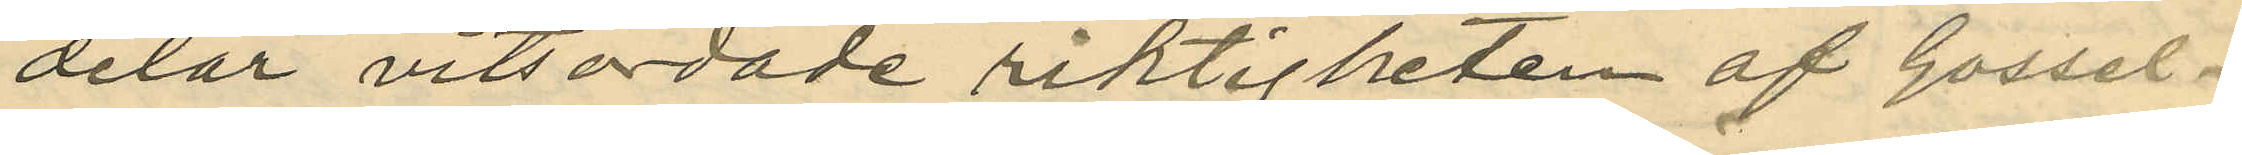delar vitsordade riktigheten af Gossel¬
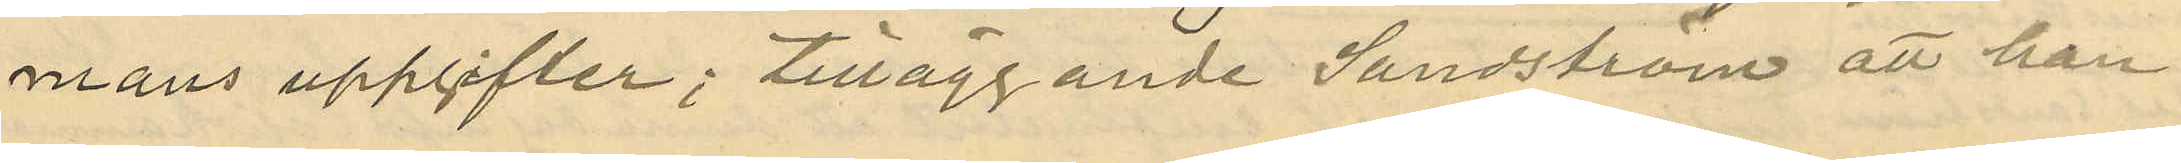mans uppgifter; tilläggande Sundström att han
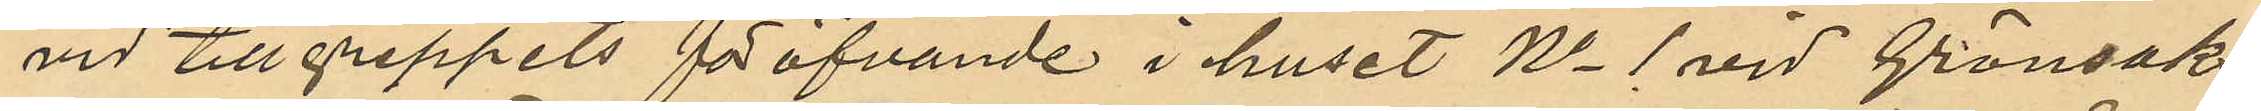vid tillgreppets föröfvande i huset No 1 vid Grönsaks¬
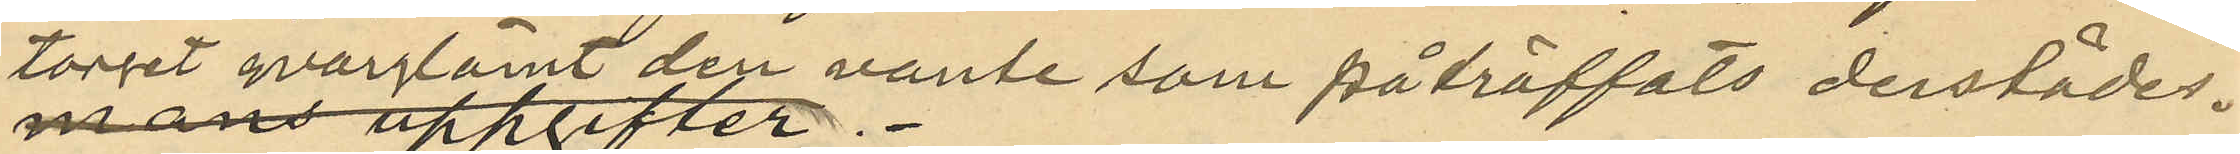torget kvarlagt den vante som påträffats derstädes.
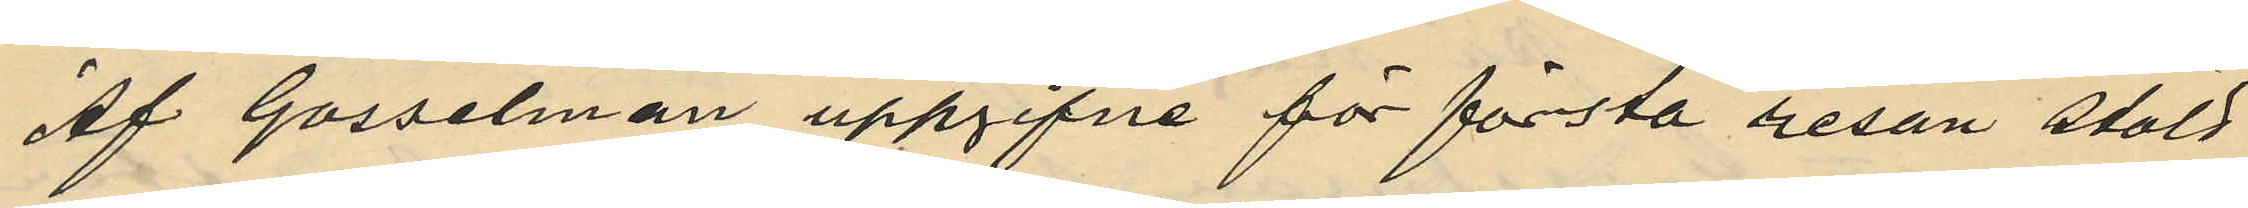Af Gosselman uppgifne för första resan stöld
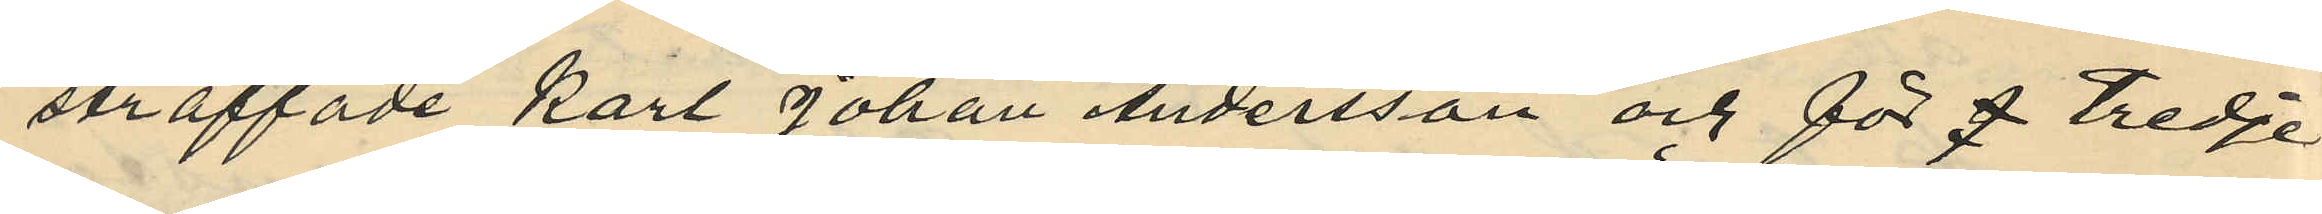straffade Karl Johan Andersson och för  tredje
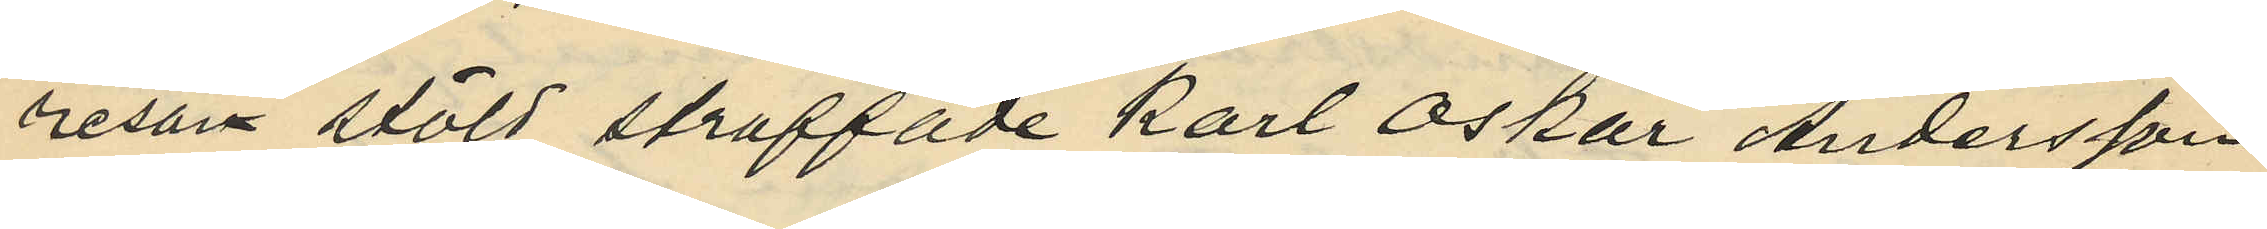resan stöld straffade Karl Oskar Andersson
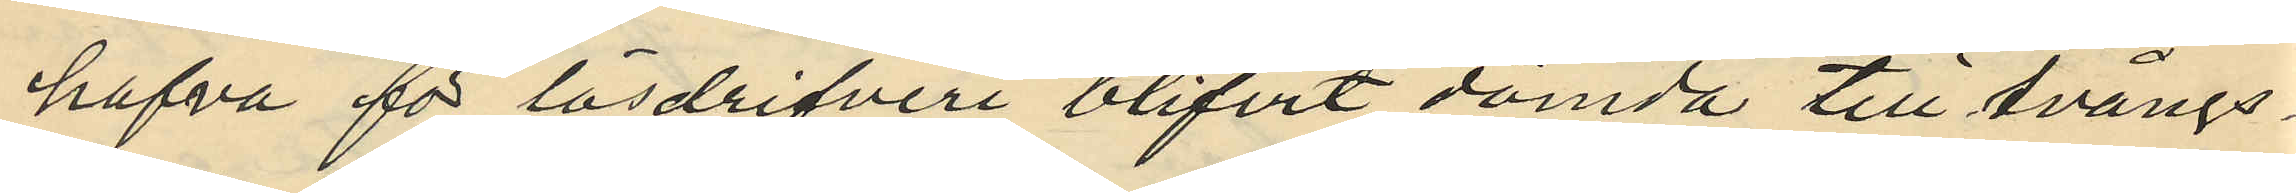hafva för lösdrifveri blifvit dömda till tvångs¬
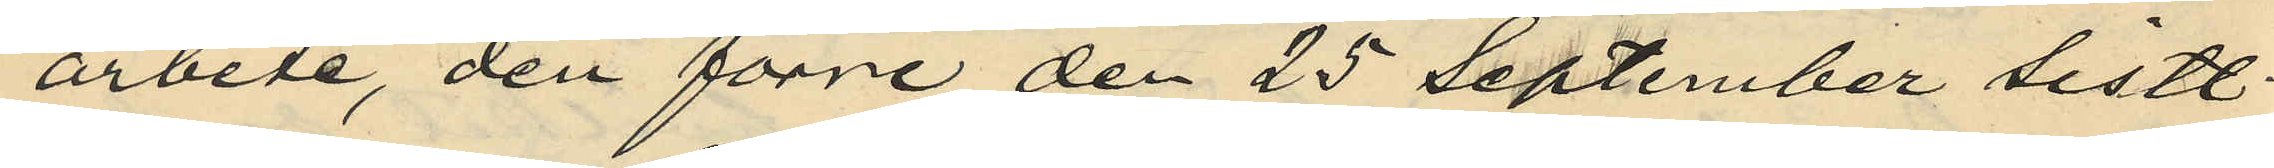arbete, den förre den 25 September sistl.
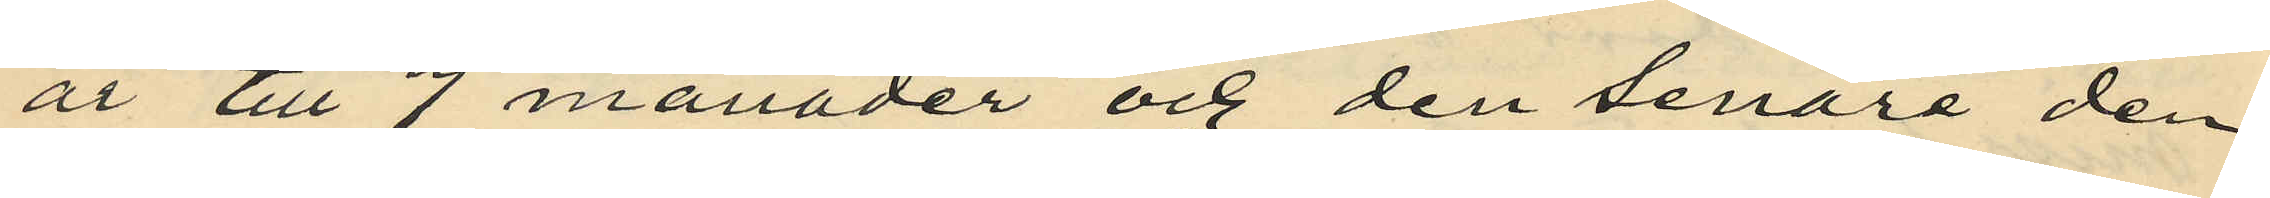år till 7 månader och den senare den
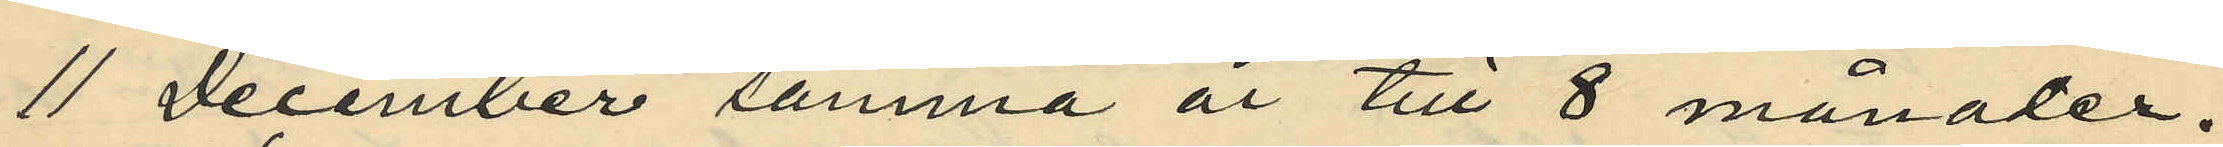11 December samma år till 8 månader.
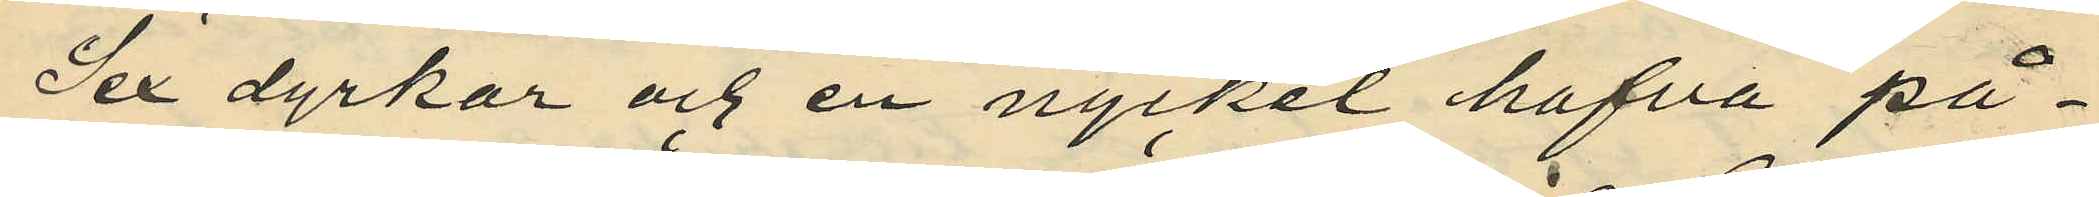Sex dyrkar och en nyckel hafva på¬
